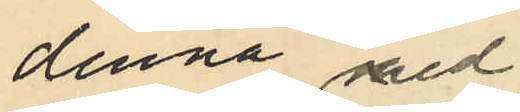denna med¬
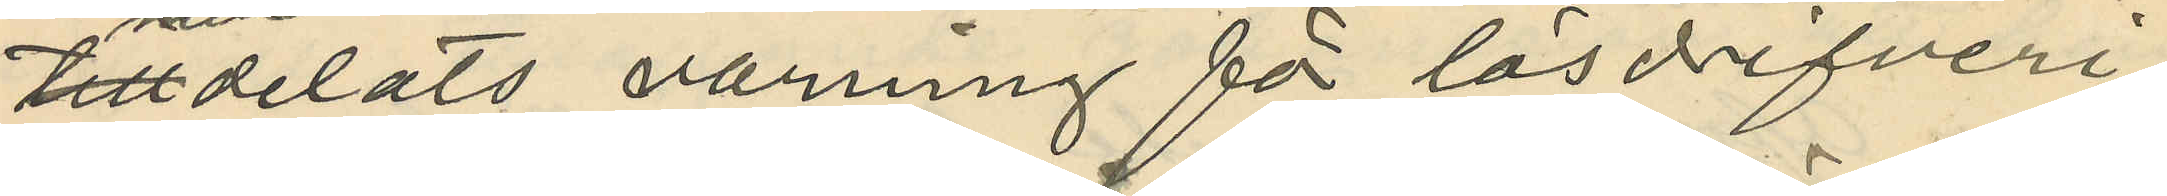tilldelats varning för lösdrifveri;
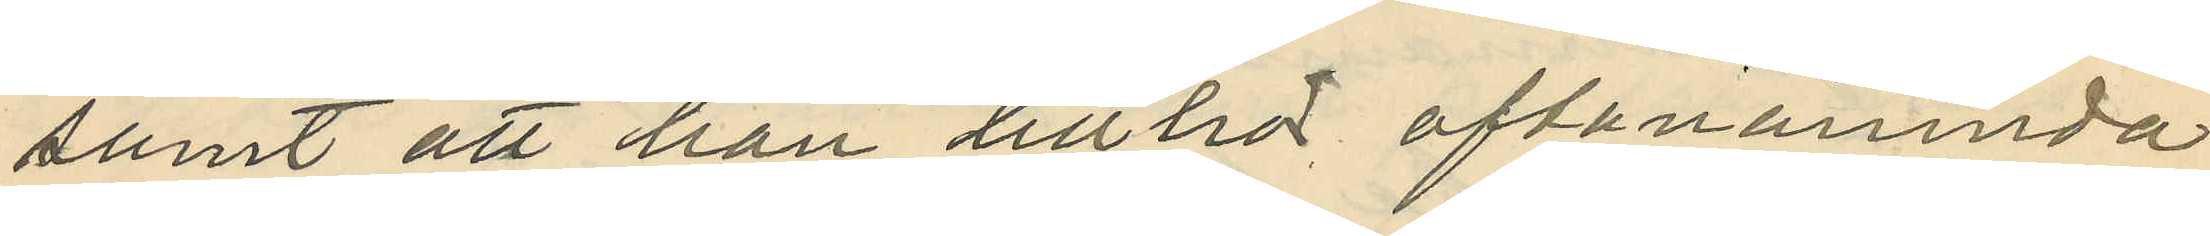samt att han tillhör, oftanämnda
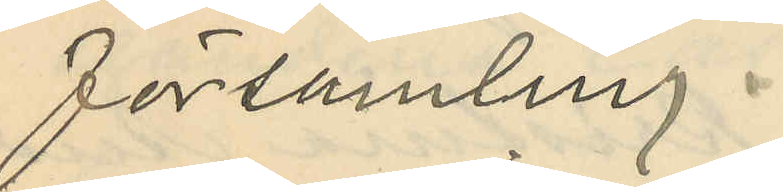församling.
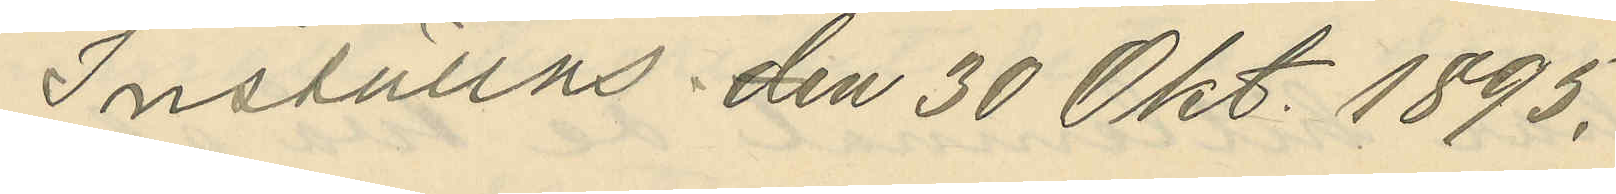Inställas den 30 Okt. 1895.
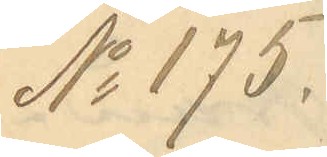No 175.
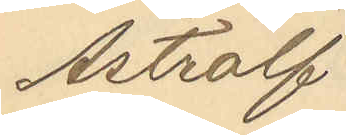Astrolf
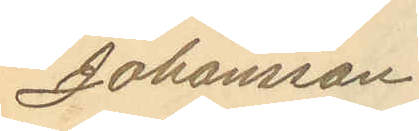Johansson
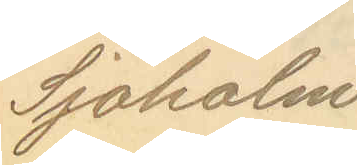Sjöholm
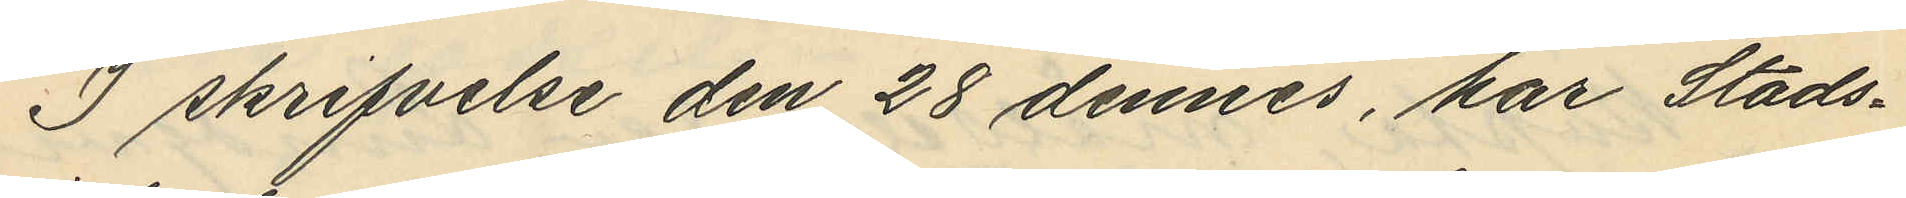I skrifvelse den 28 dennes, har Stads¬
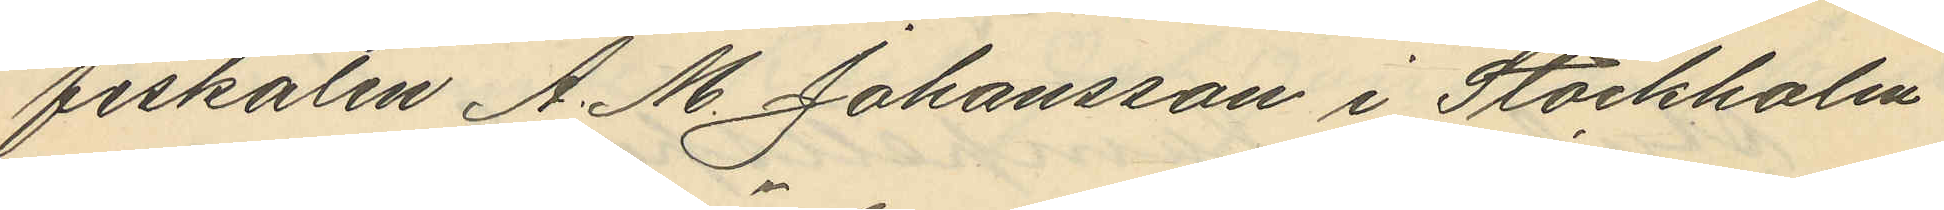fiskalen A. M. Johansson i Stockholm
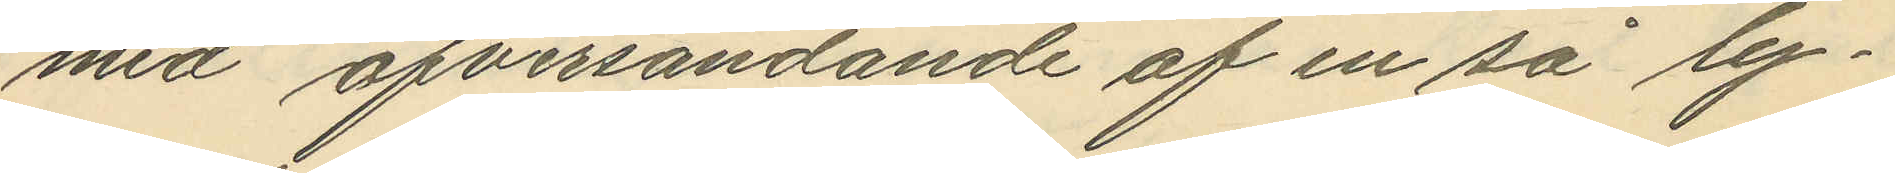med öfversändande af en så ly¬
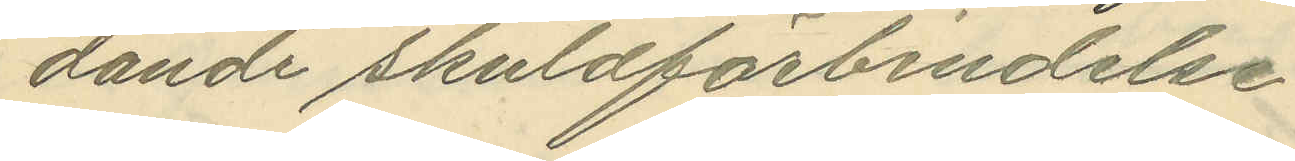dande skuldförbrudelse
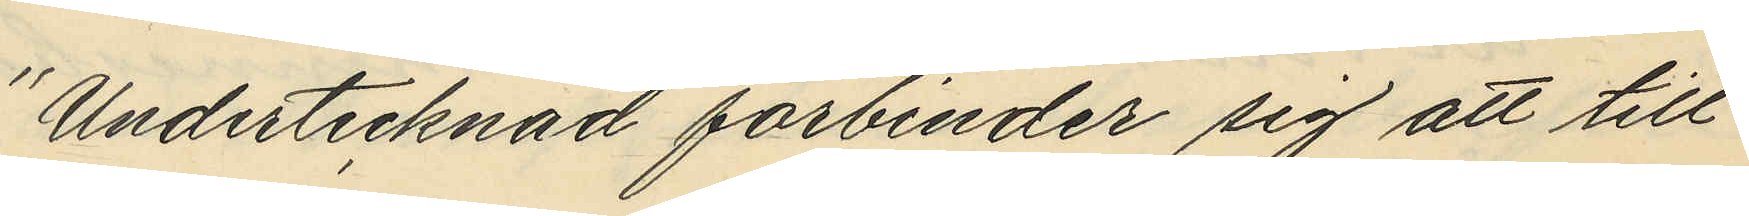Undertecknad förbinder sig att till
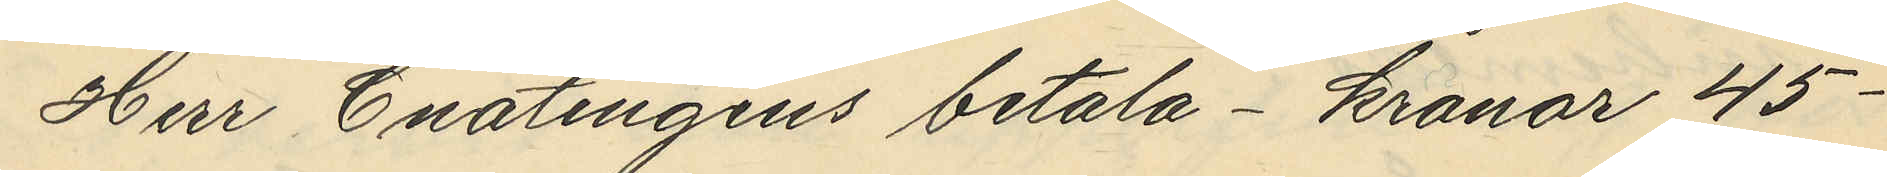Herr Enatingius betala- kronor 45.
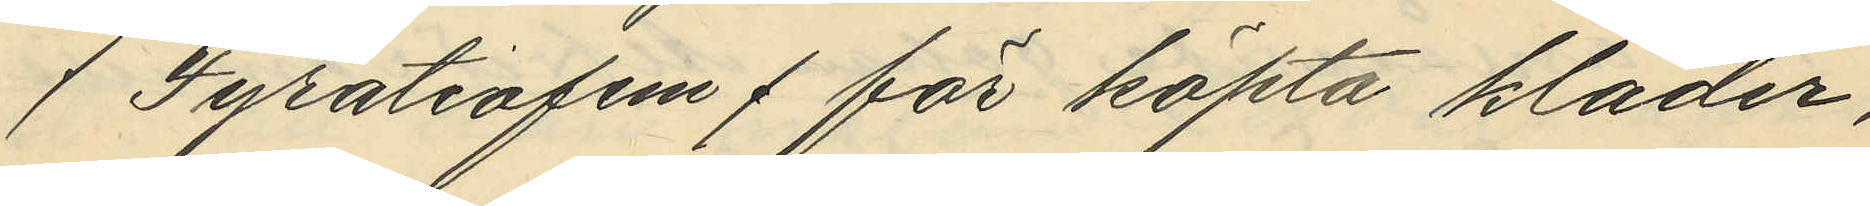/ Fyratiofem / för köpta kläder,
